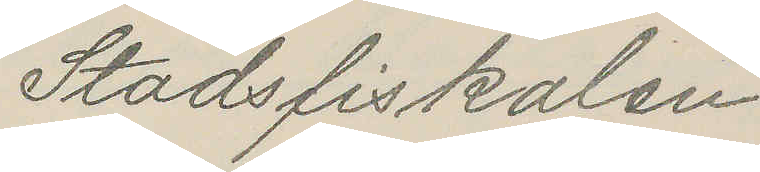Stadsfiskalen
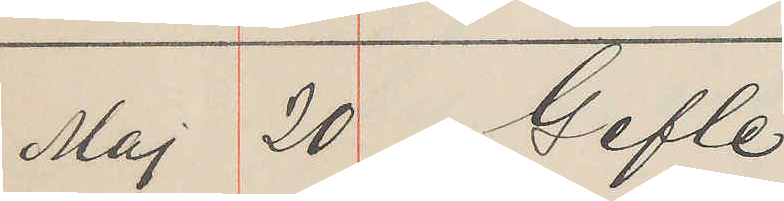Maj 20 Gefle
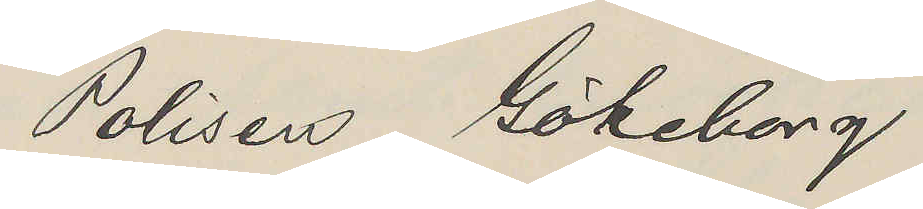Polisen Göteborg.
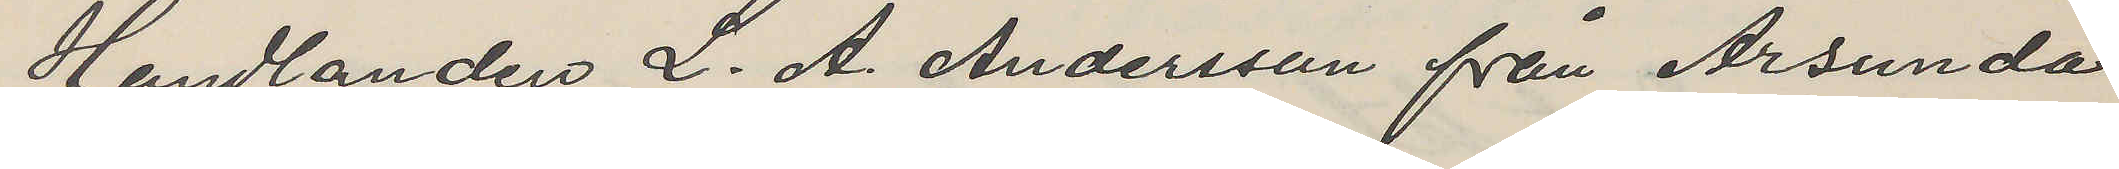Handlanden L. A. Andersson från Årsunda
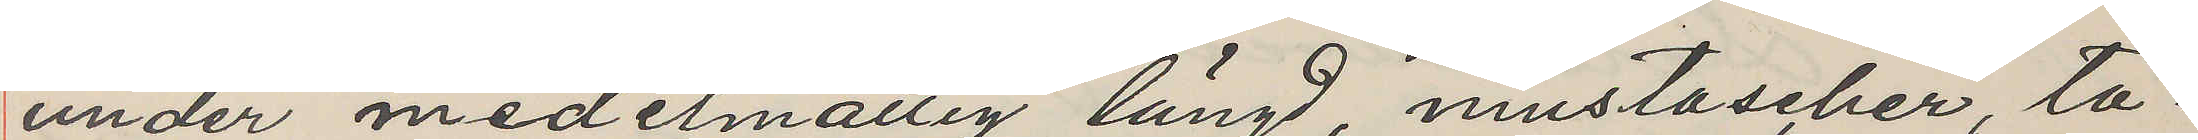under medelmåttig längd, mustascher, ta¬
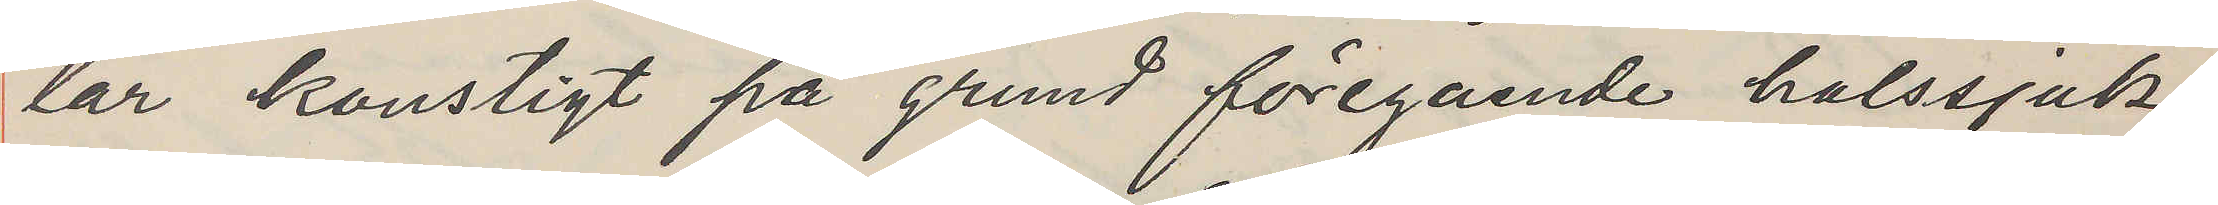lar konstigt på grund föregående halssjuk¬
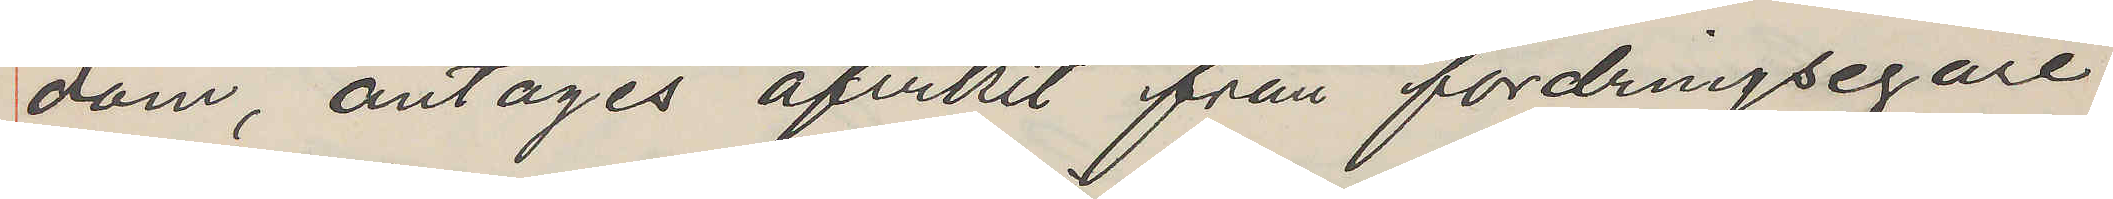dom, antages afvikit från fordringsegare
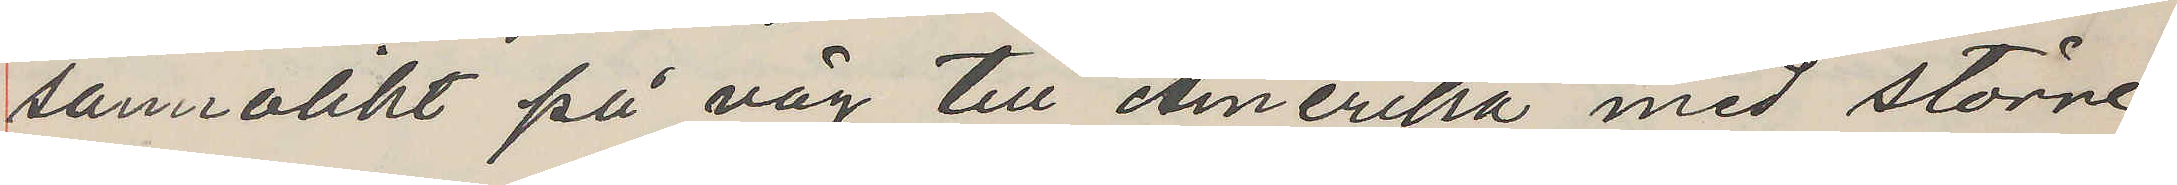sanrolikt på väg till Amerika med större
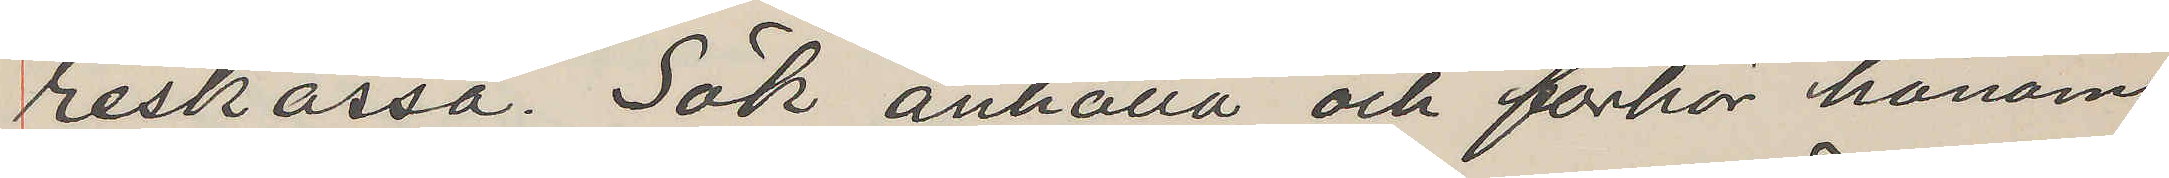reskassa. Sök anhålla och förhör honom
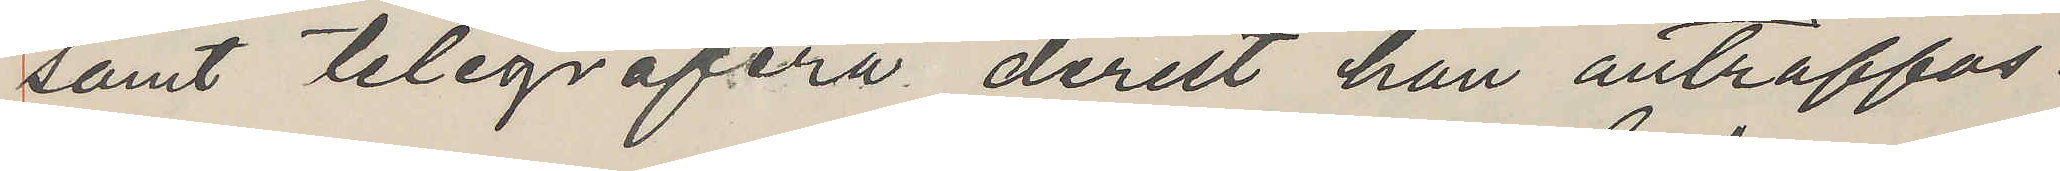samt telegrafera derest han anträffas.
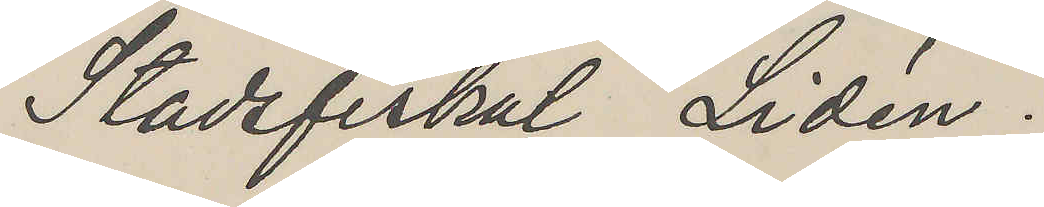Stadsfiskal Lidén.
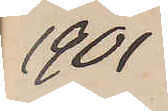1901
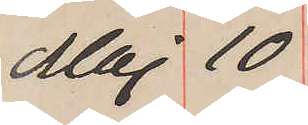Maj 10
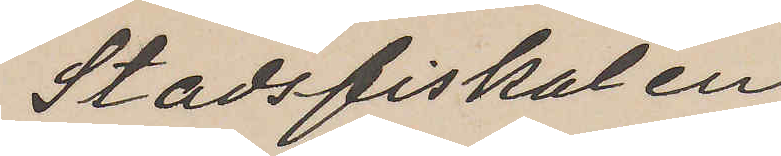Stadsfiskalen
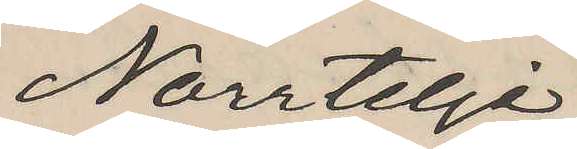Norrtelje
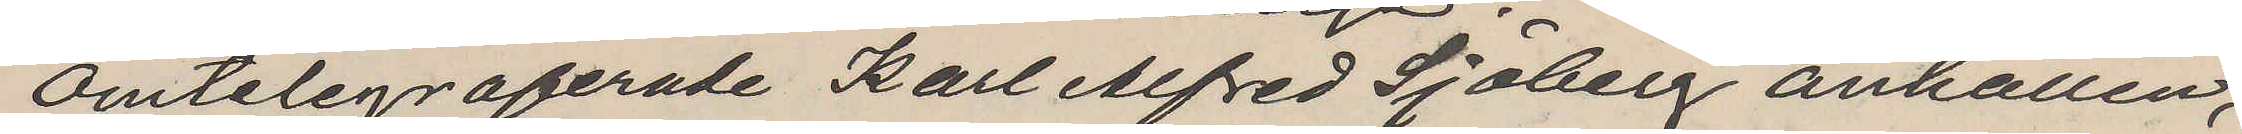Omtelegraferade Karl Alfred Sjöberg anhållen,
